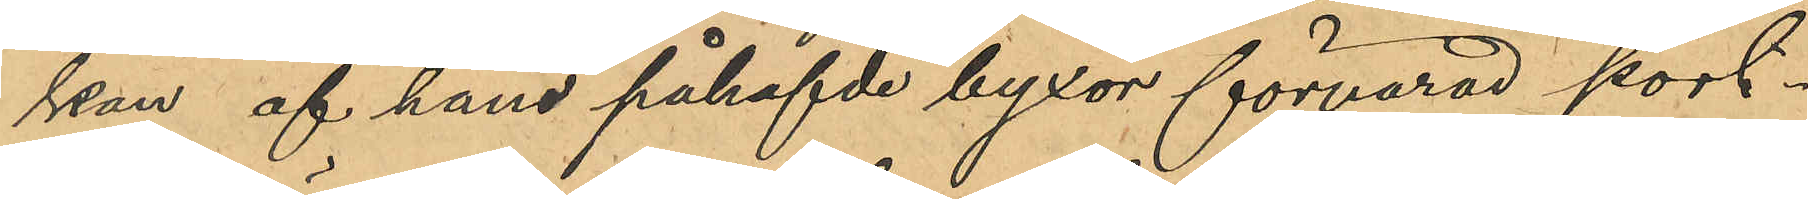kan af hans påhafvda byxor förvarad port¬
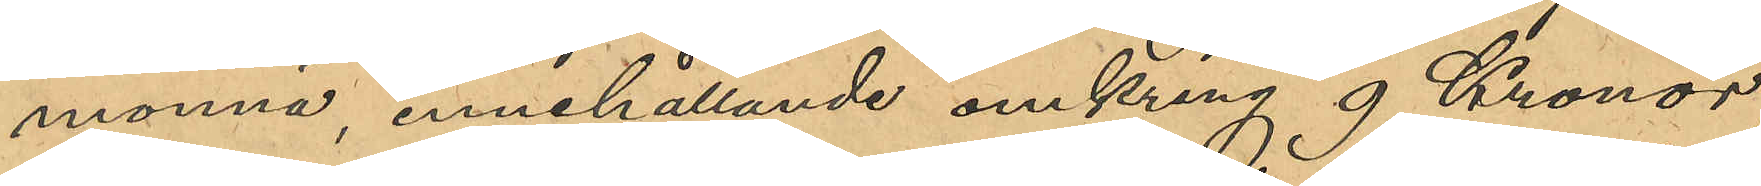monnä, innehållande omkring 9 Kronor
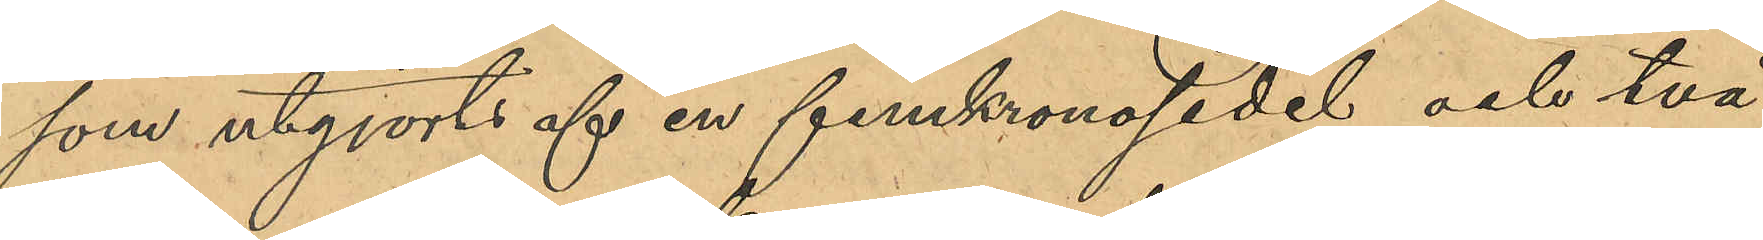som utgjorts af en femkronosedel och två
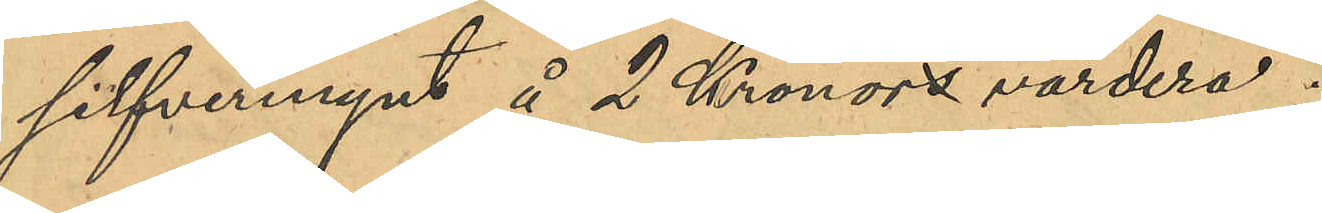silfvermynt å 2 Kronor vardera.
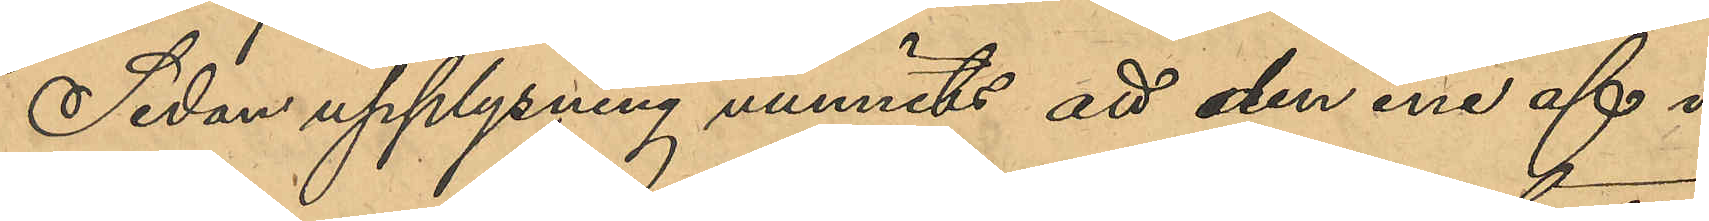Sedan upplysning vunnits att den ene af i
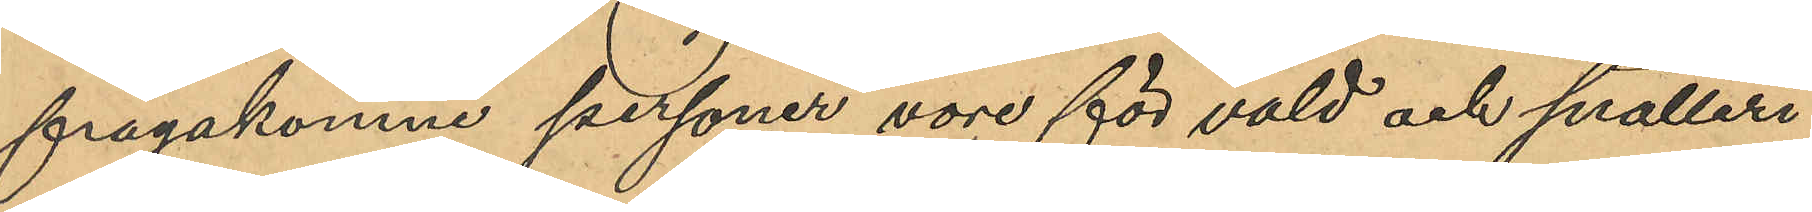frågakomne personer vore för våld och snatteri
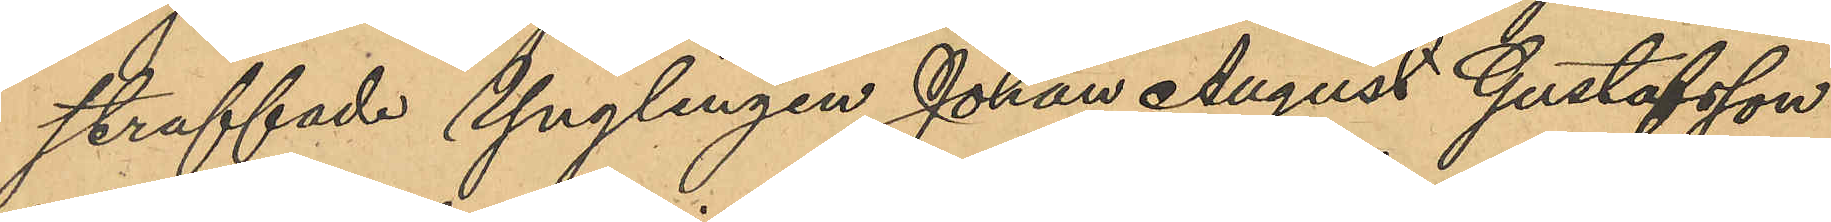straffade ynglingen Johan August Gustafsson
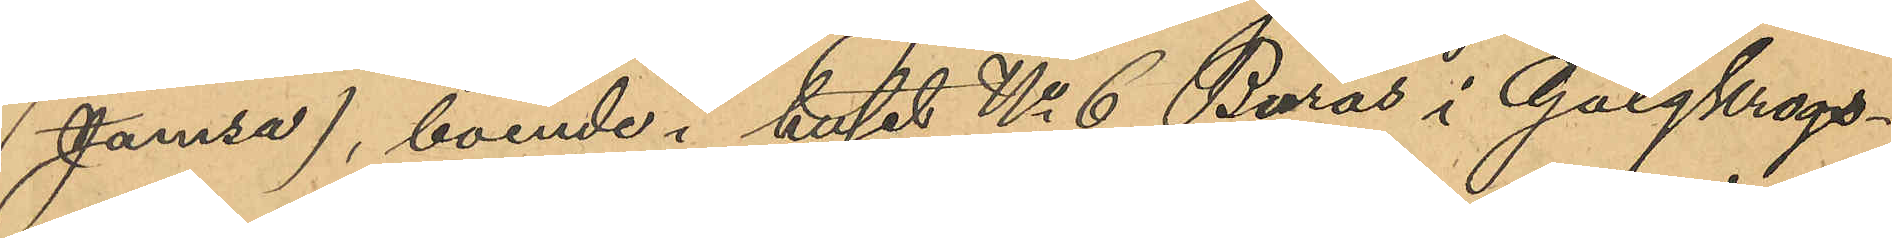(Jamsa) boende i huset No 6 Burås i Galgkrogs¬
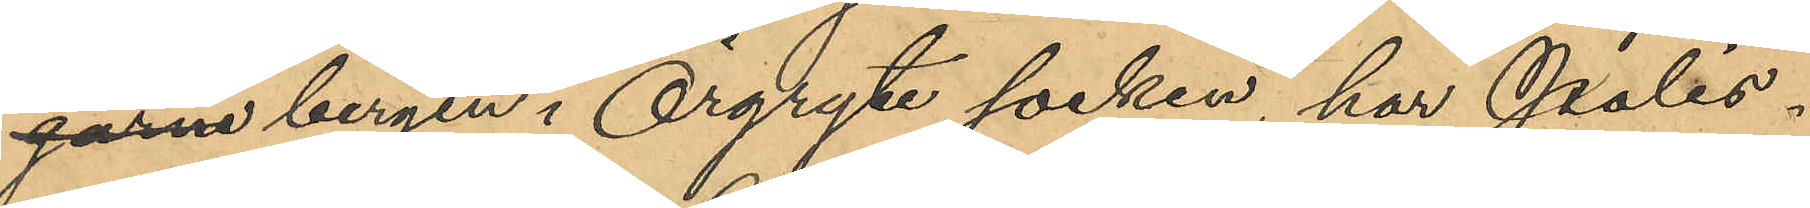garna bergen i Örgryte socken, har Polis¬
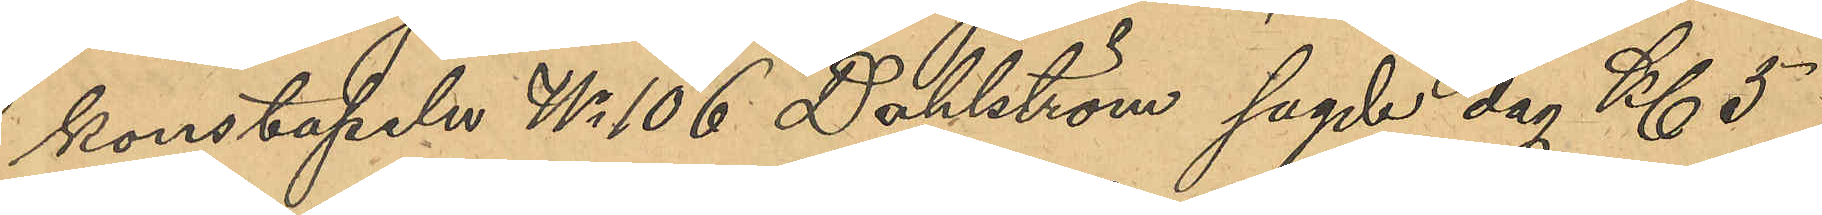konstapeln No 106 Dahlström, sagde dag Kl 5
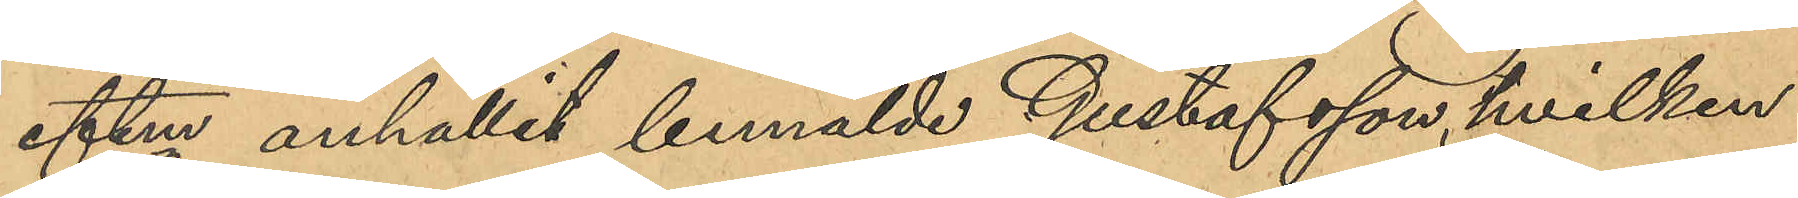eftm anhållit bemälde Gustafsson, hvilken
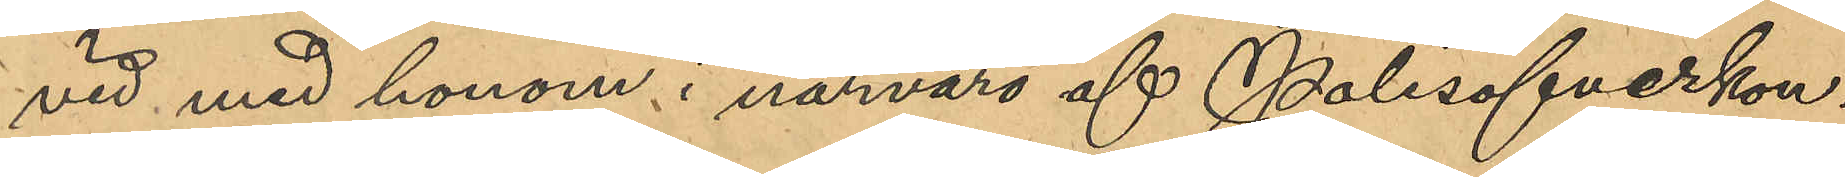vid med honom i närvaro af Polisöfverkon¬
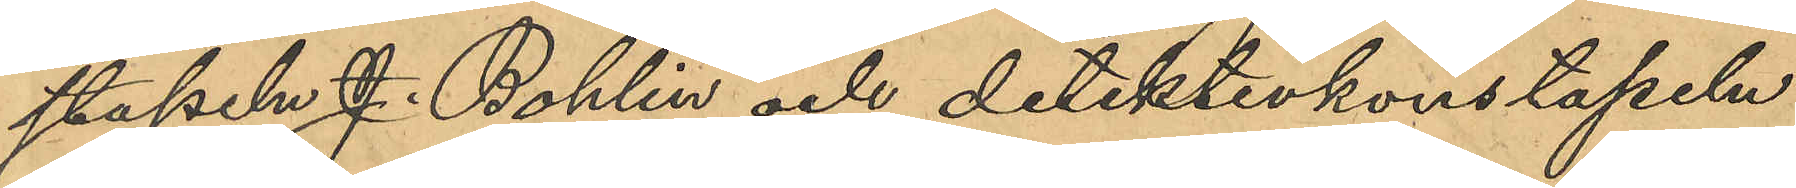stapeln J. Bohlin och detektivkonstapeln
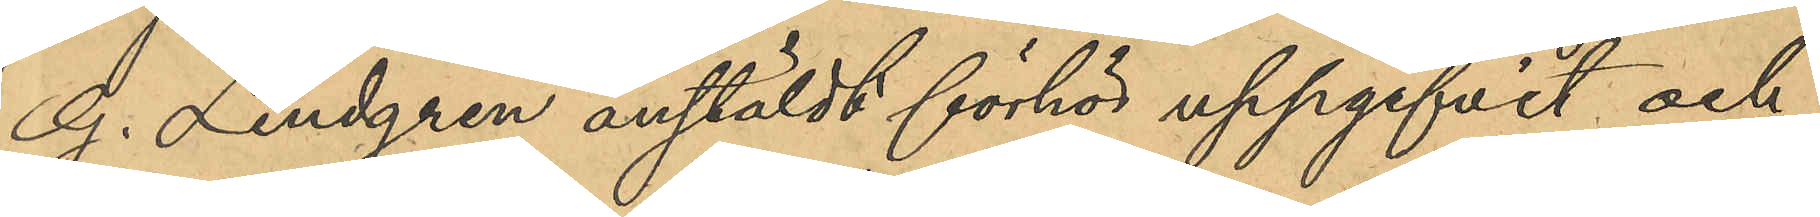G. Lindgren anstäldt förhör uppgifvit och
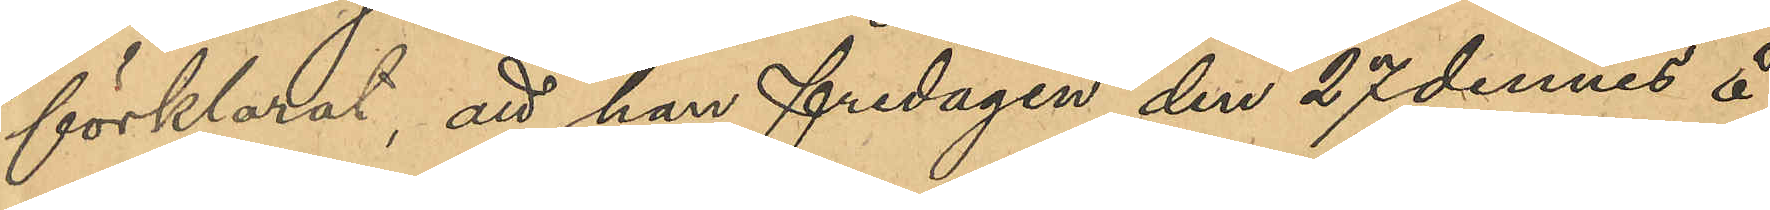förklarat, att han fredagen den 27 dennes å
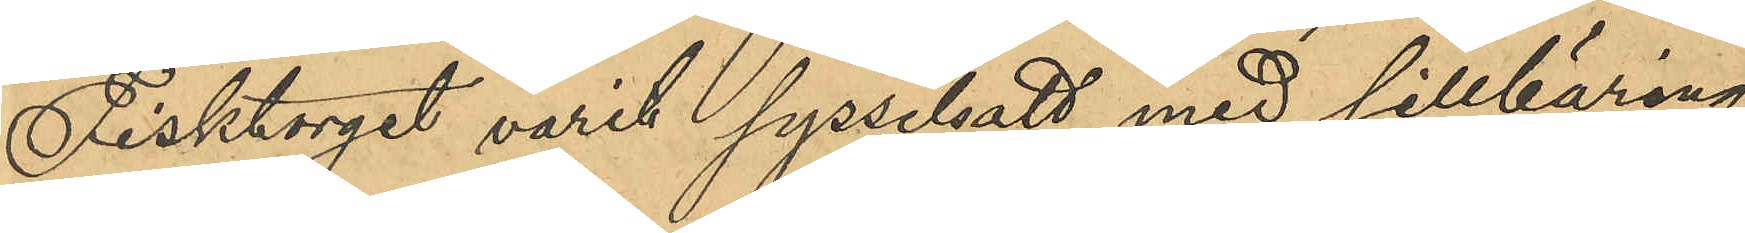Fisktorget varit sysselsatt med sillbäring
